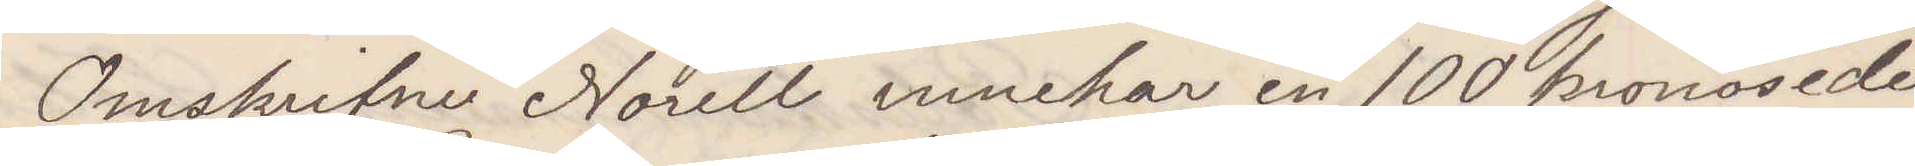Omskrifne Norell innehar en 100 kronosedel
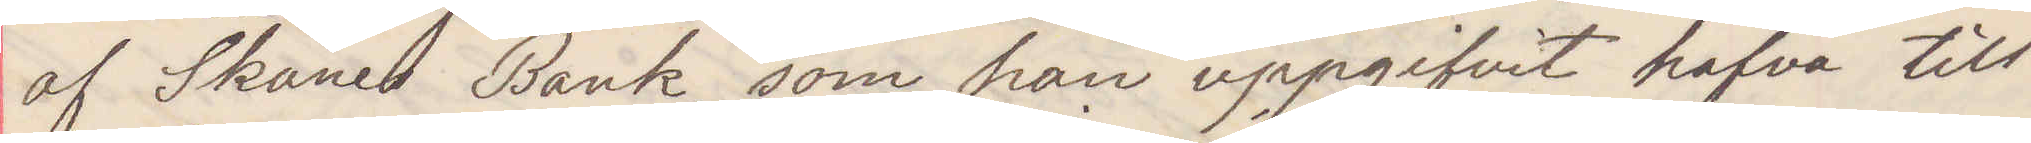af Skånes Bank som han uppgifvit hafva till¬
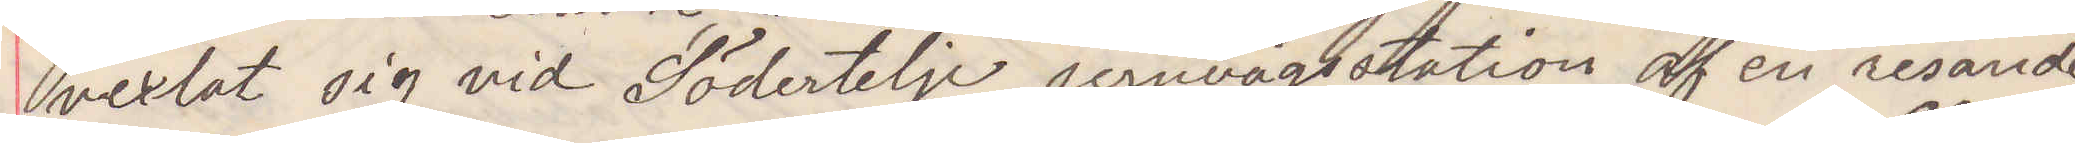vexlat sig vid Södertelje jernvägsstation af en resande
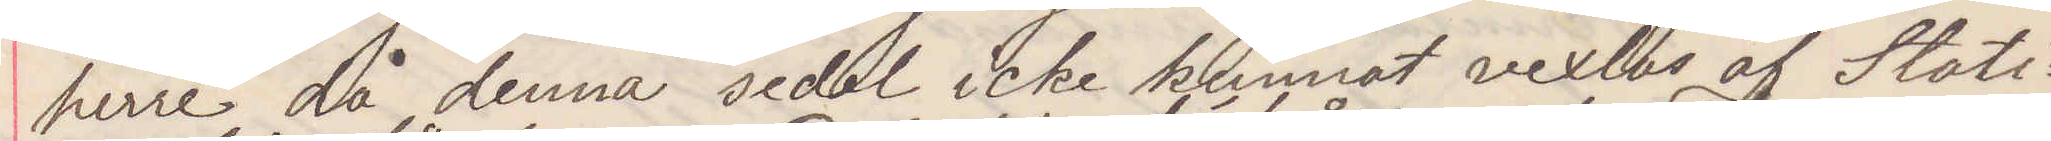herre då denna sedel icke kunnat vexlas af Stati¬
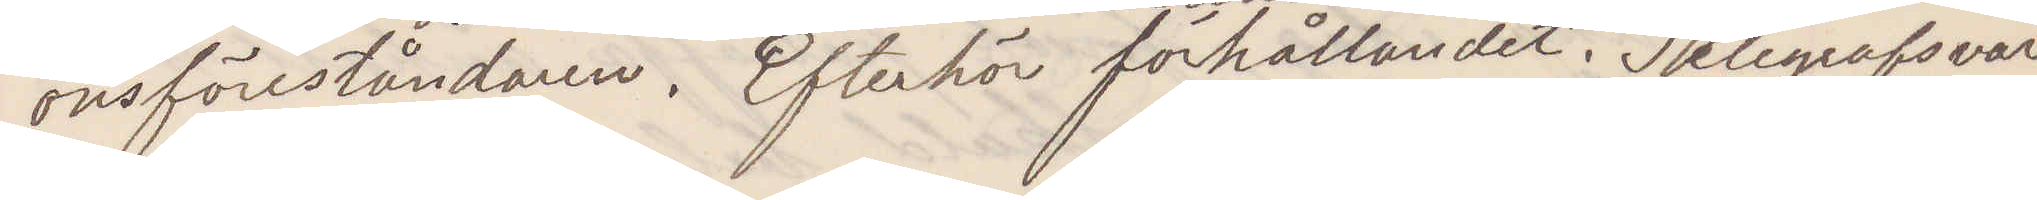onsföreståndaren. Efterhör förhållandet. Telegrafsvar.
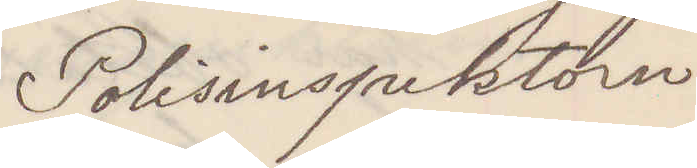Polisinspektorn
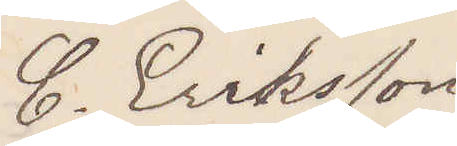C. Eriksson
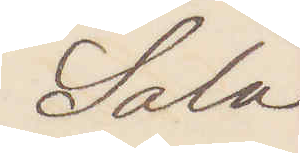Sala
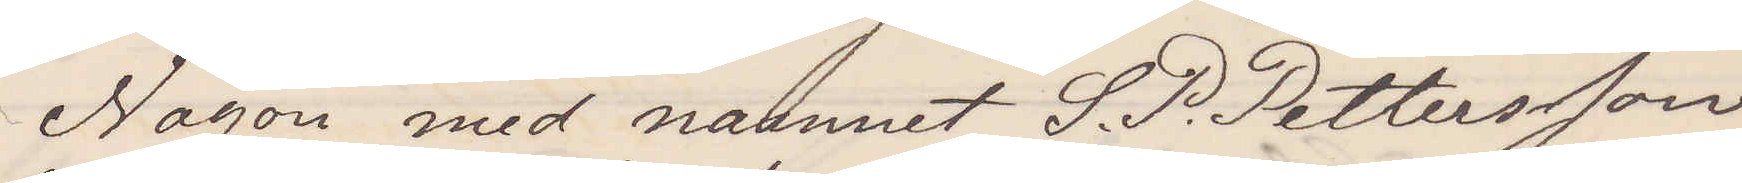Någon med namnet S. P. Pettersson
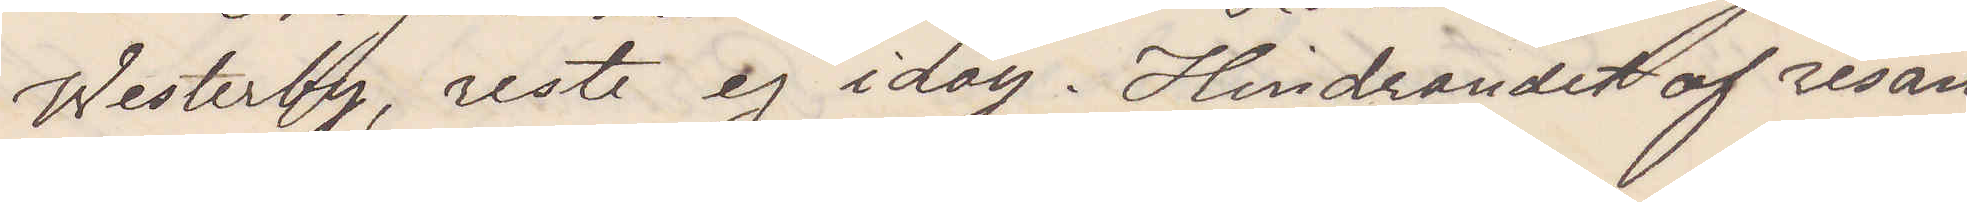Westerby, reste ej idag. Hindrandet af resan
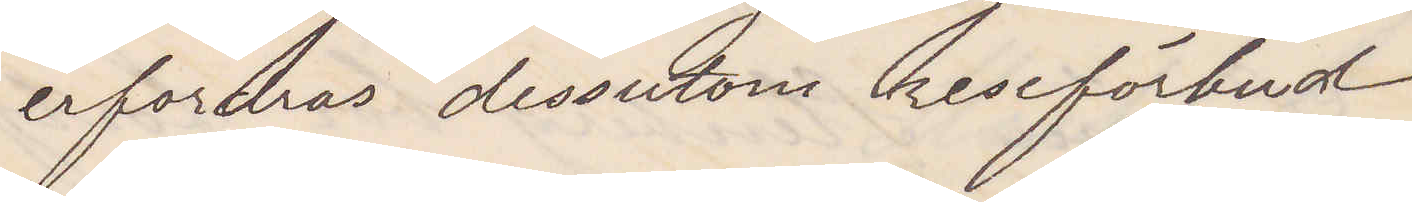erfordras dessutom reseförbud
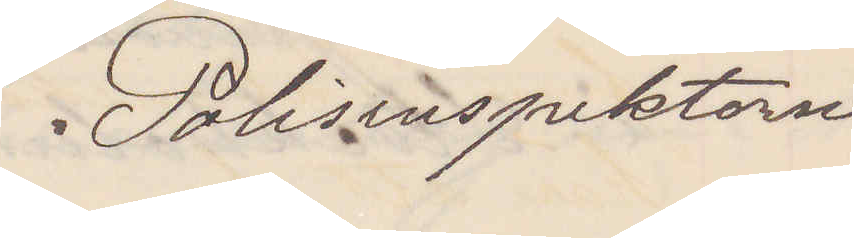Polisinspektorn
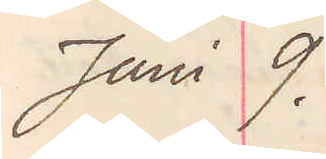Juni 9.
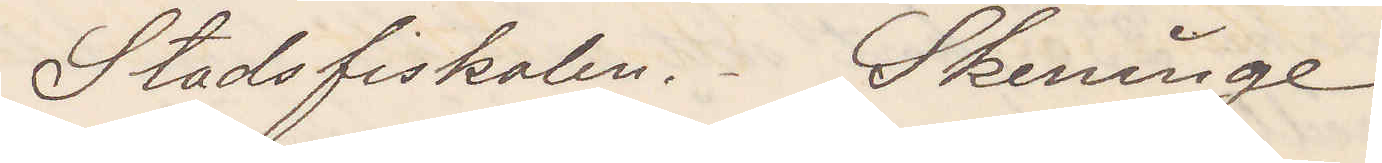Stadsfiskalen Skeninge
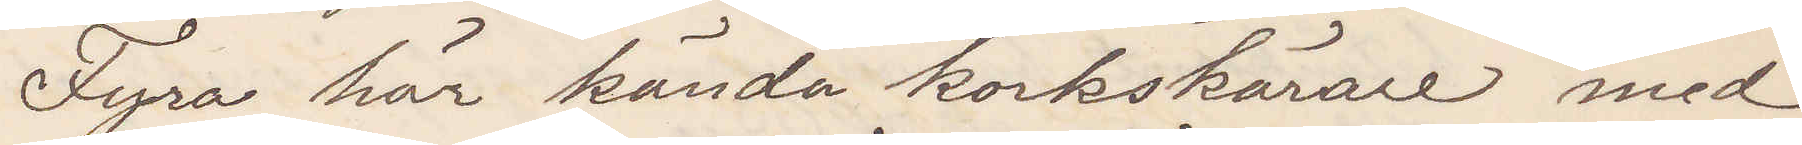Fyra här kända korkskärare med
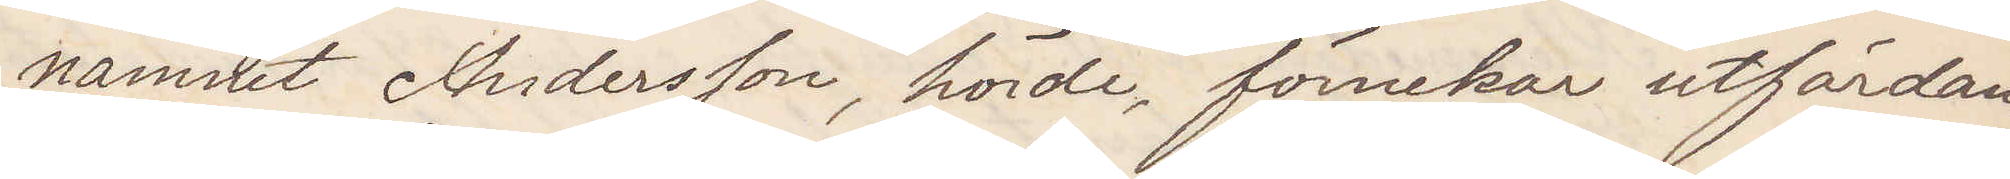namnet Andersson, hörde, förnekar utfärdan¬
